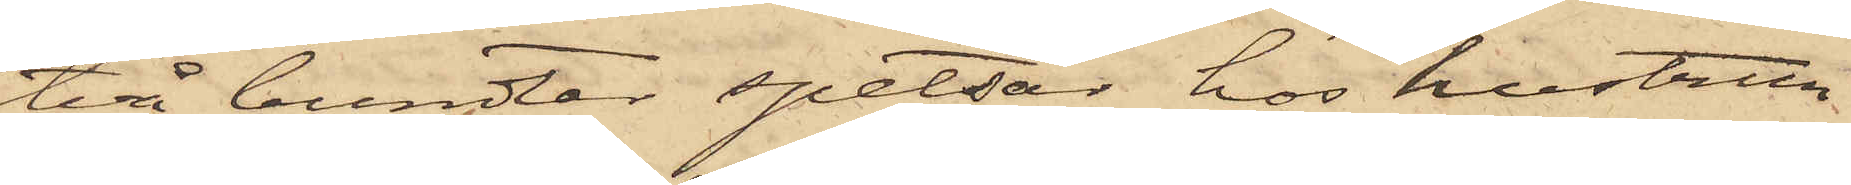två bundtar spetsar hos hustrun
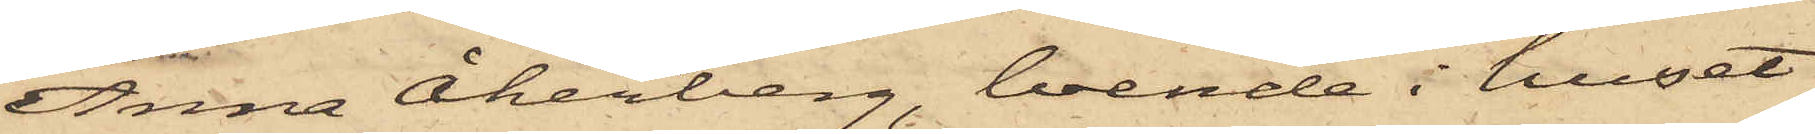Anna Åkerberg, boende i huset
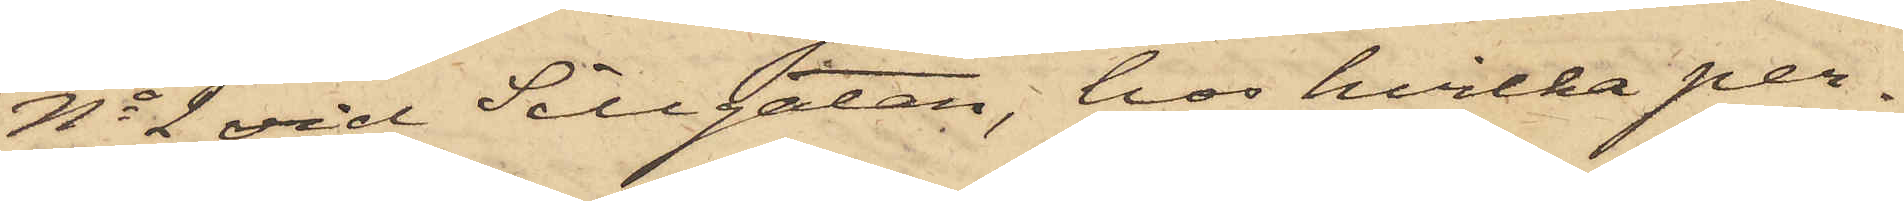No 2 vid Sillgatan, hos hvilka per¬
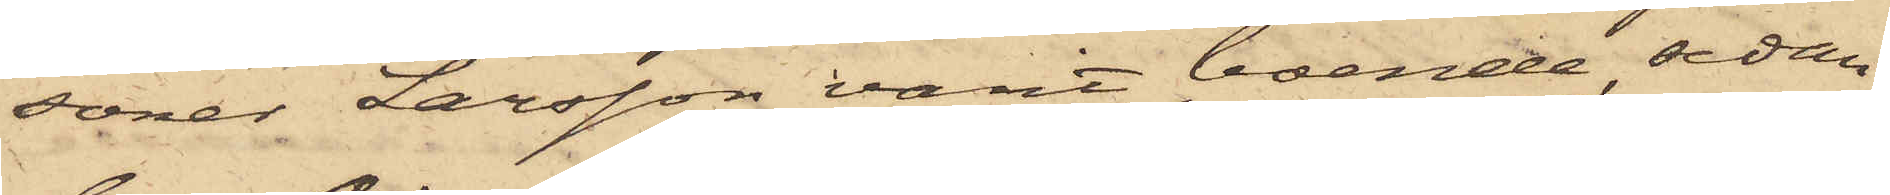soner Larsson varit boende, sedan
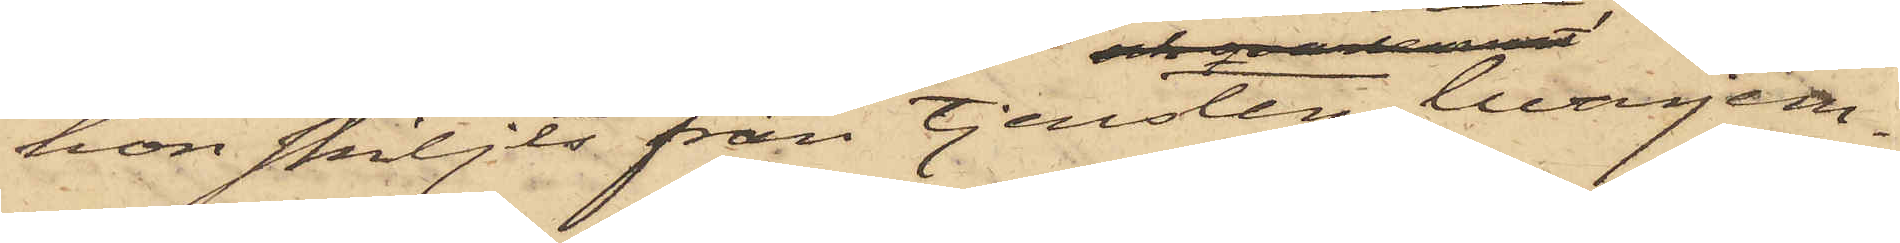hon skiljts från tjensten, hvarjem¬
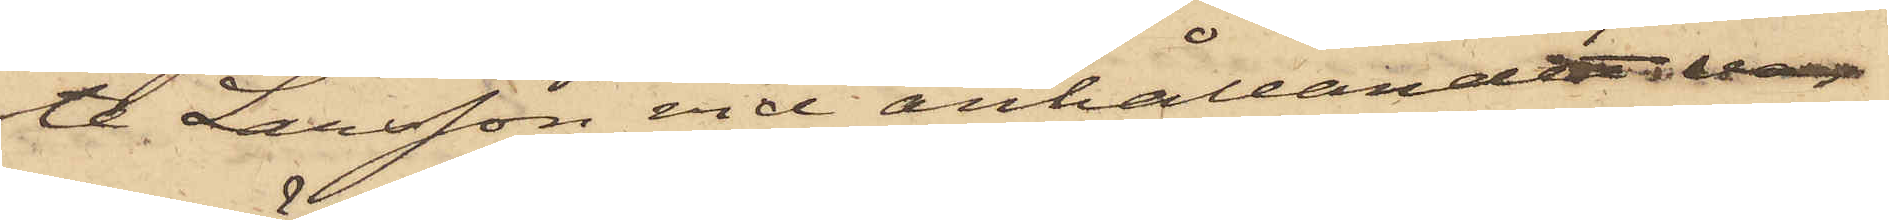te Larsson vid anhållandet var
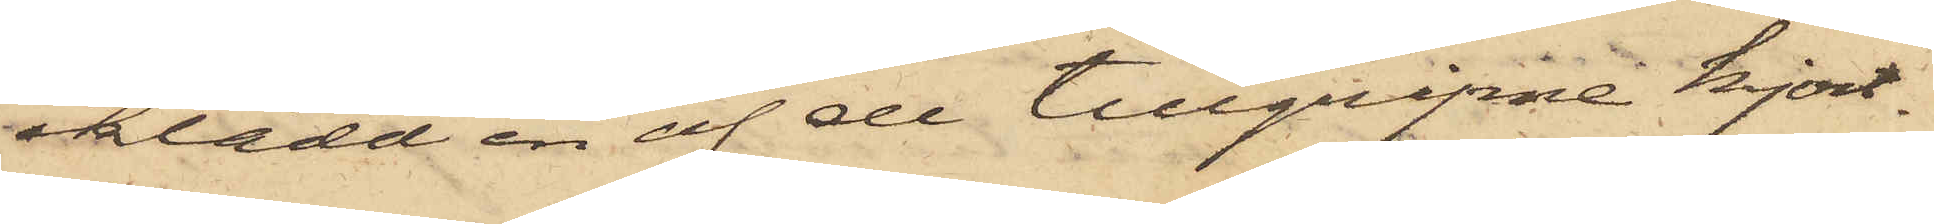iklädd en af de tillgripne kjort¬
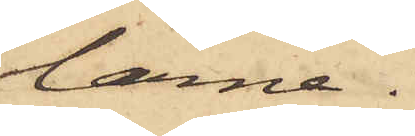larne.
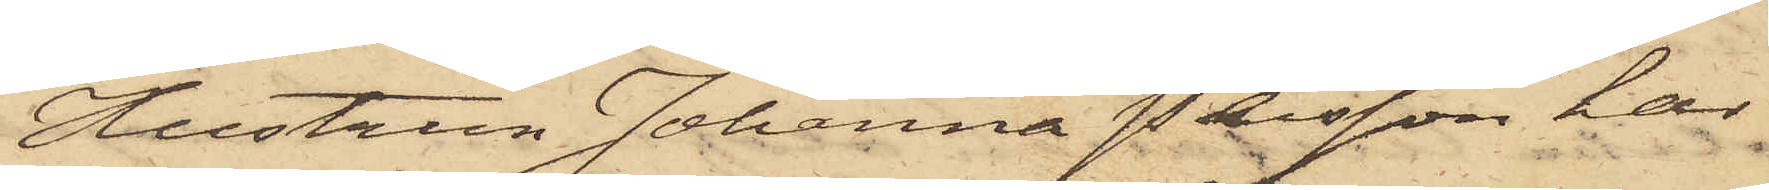Hustrun Johanna Persson har
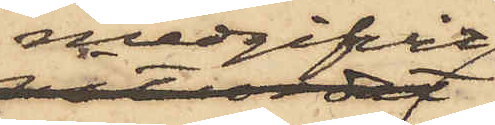medgifvit
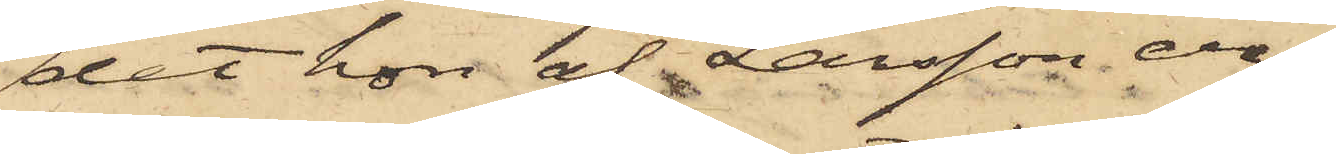det hon af Larsson er¬
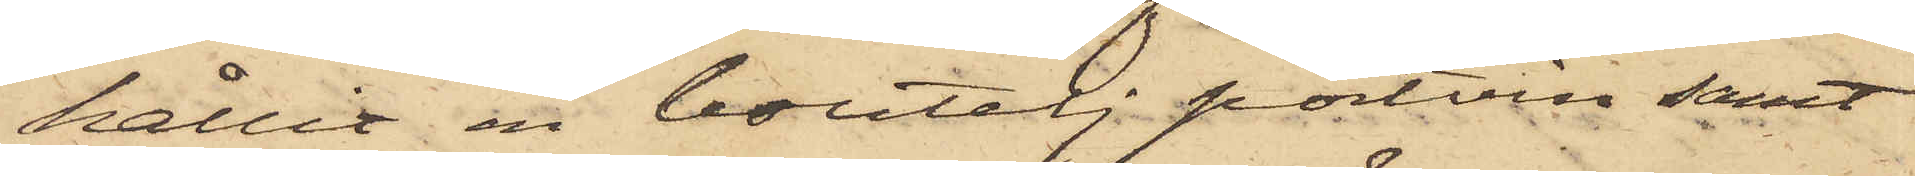hållit en boutelj portvin samt
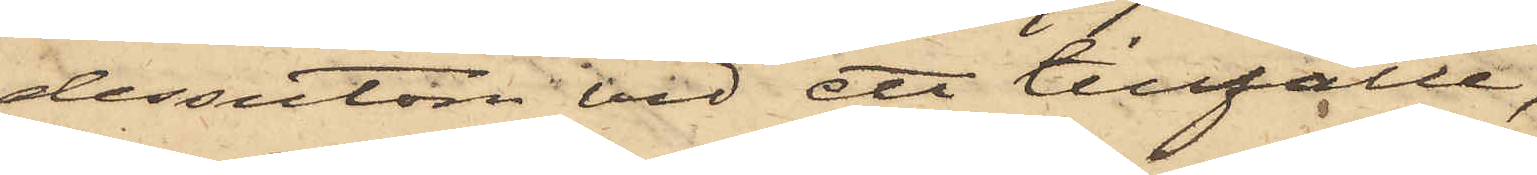dessutom vid ett tillfälle,
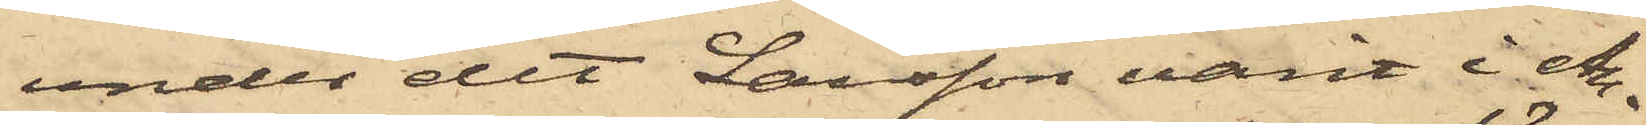under det Larsson varit An¬
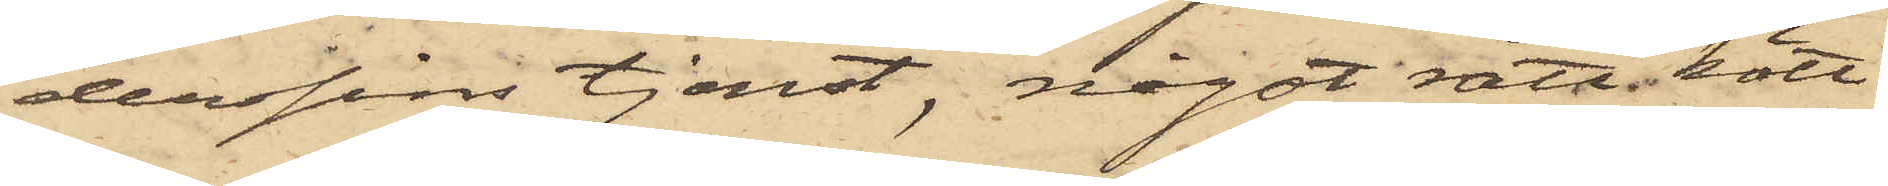derssins tjenst, något rått kött
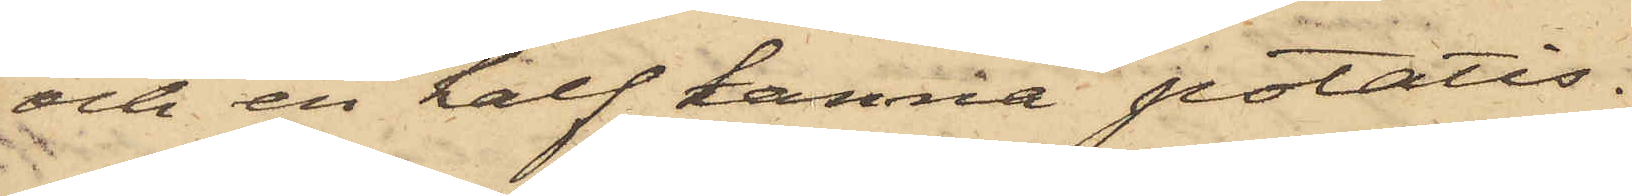och en half kanna potatis.
